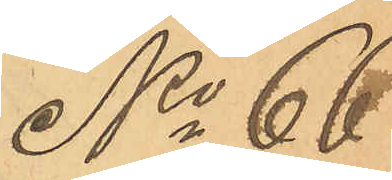No 66
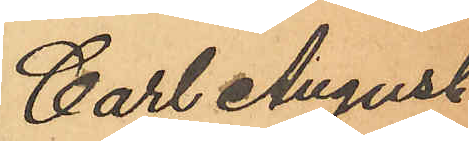Carl August
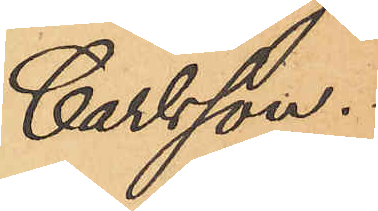Carlsson.
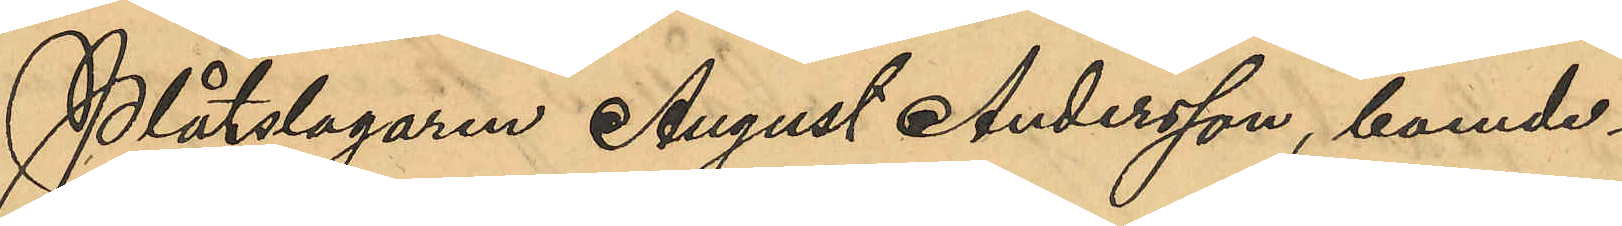Plåtslagaren August Andersson, boende i
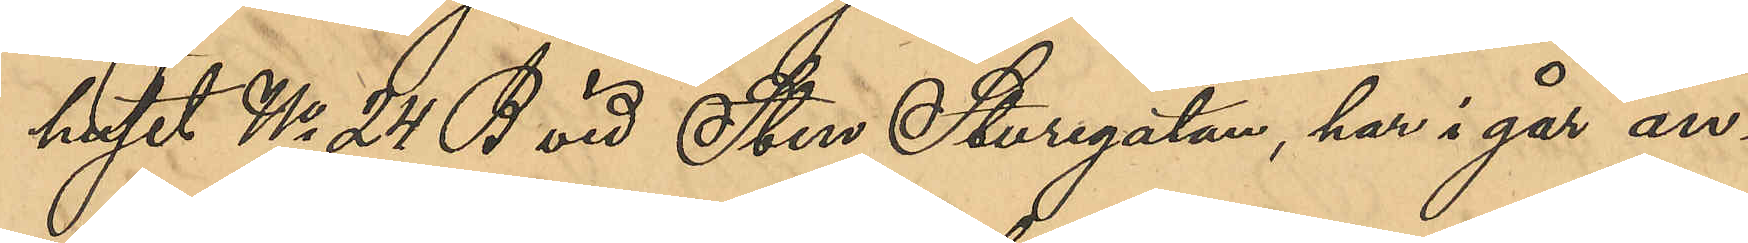huset No 24 B vid Sten Sturegatan, har i går an¬
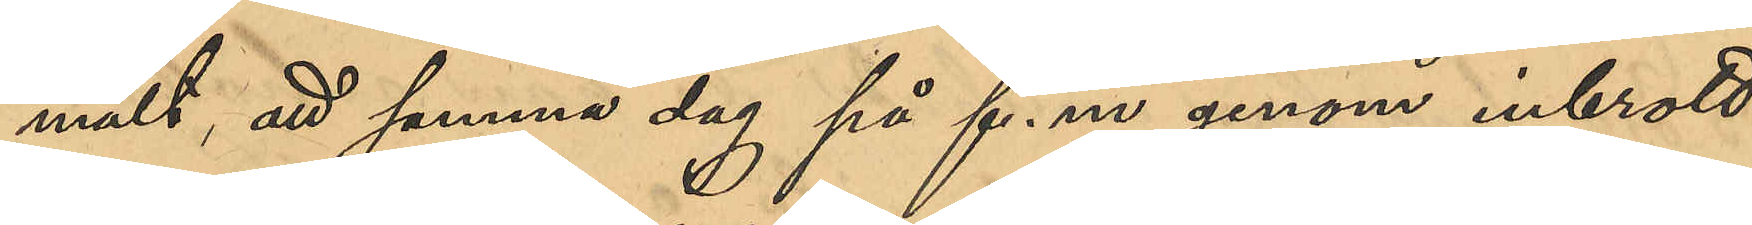mält, att samma dag på f. m genom inbrott
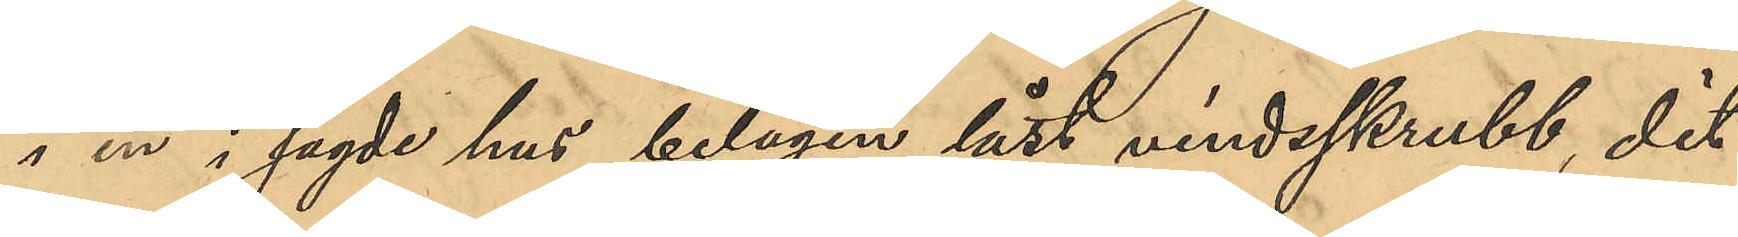i en i sagde hus belägen låst vindsskrubb, dit
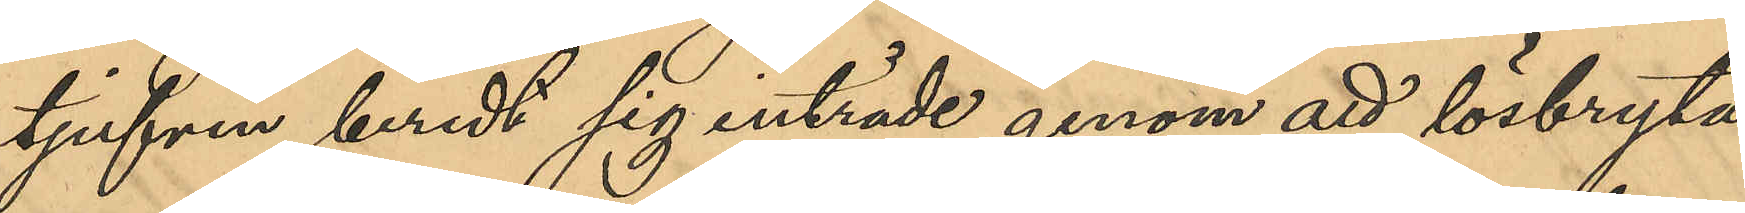tjufven beredt sig inträde genom att lösbryta
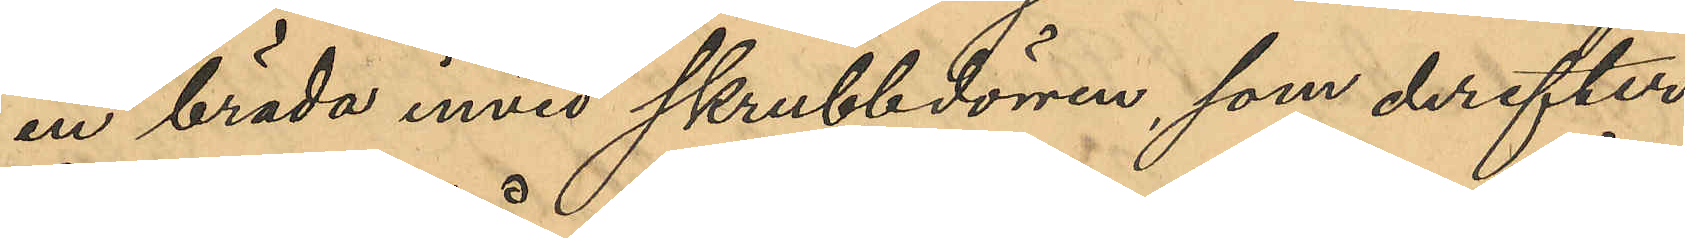en bräda invid skrubbdörren, som derefter
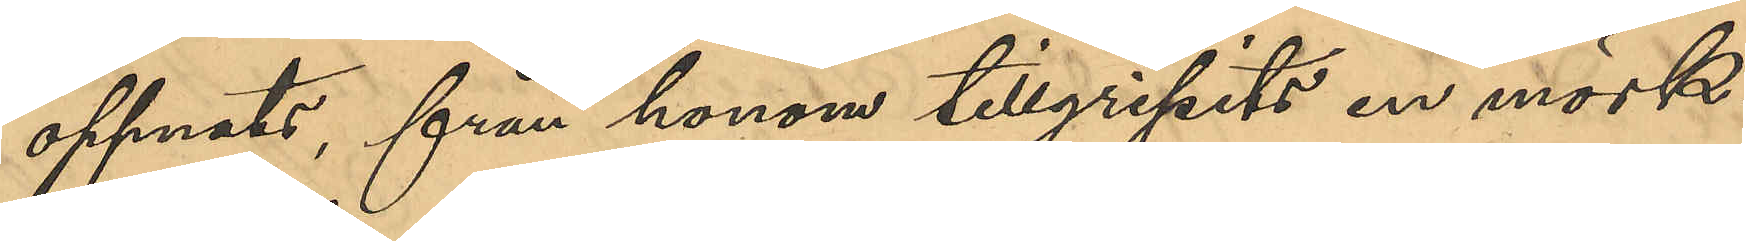öppnats, från honom tillgripits en mörk¬
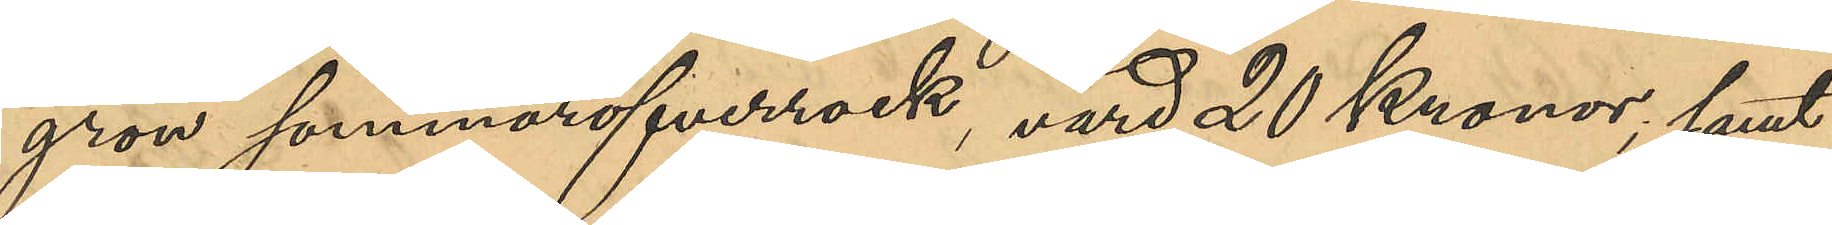grön sommaröfverrock, värd 20 Kronor; samt
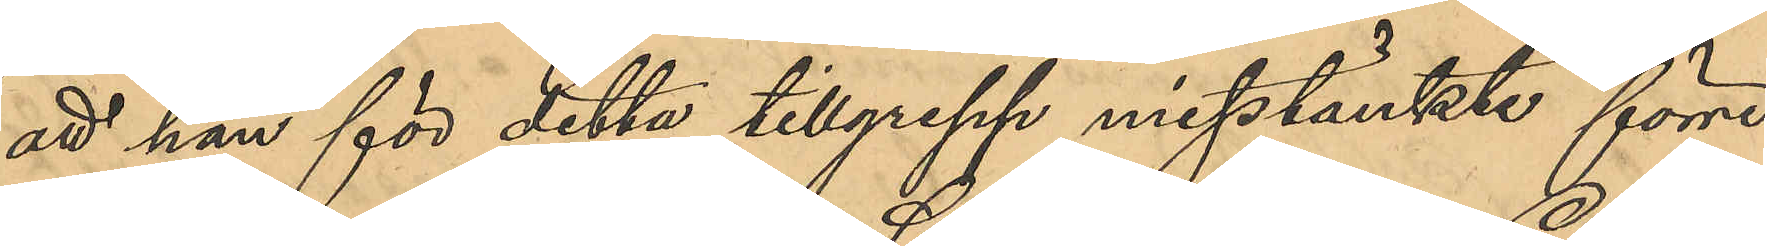att han för detta tillgrepp misstänkte förre
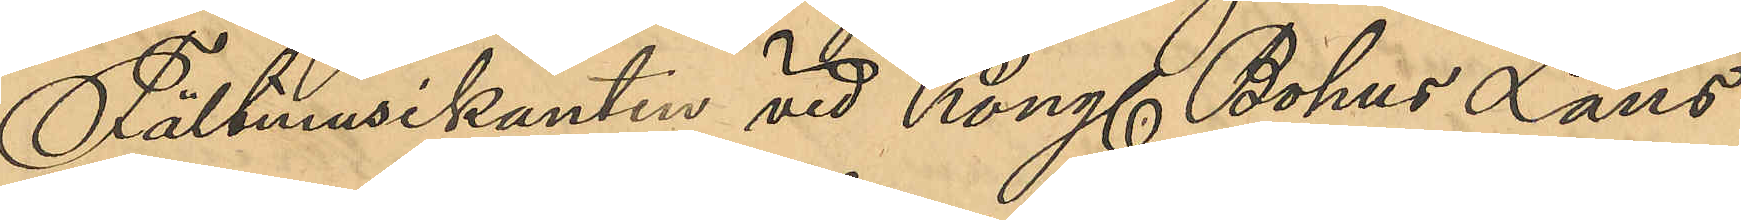Fältmusikanten vid Kongl. Bohus Läns
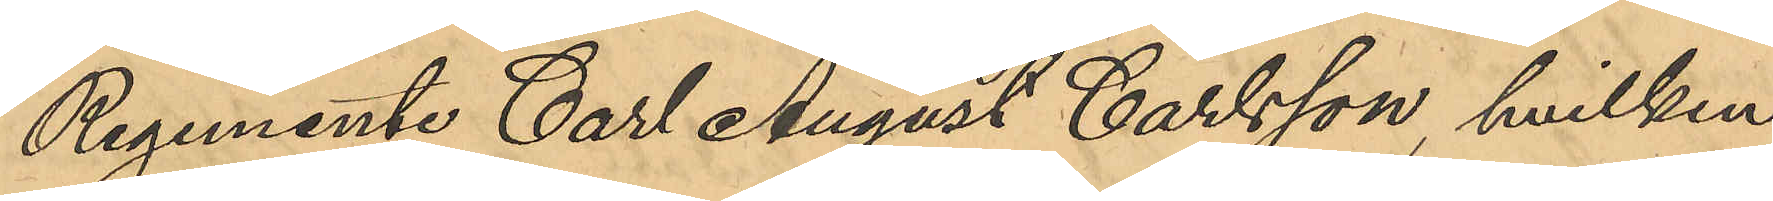Regemente Carl August Carlsson, hvilken
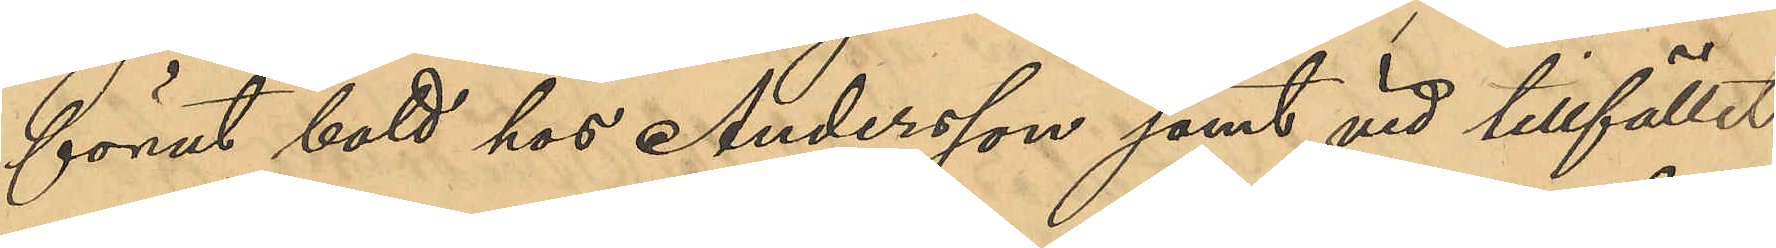förut bott hos Andersson samt vid tillfället
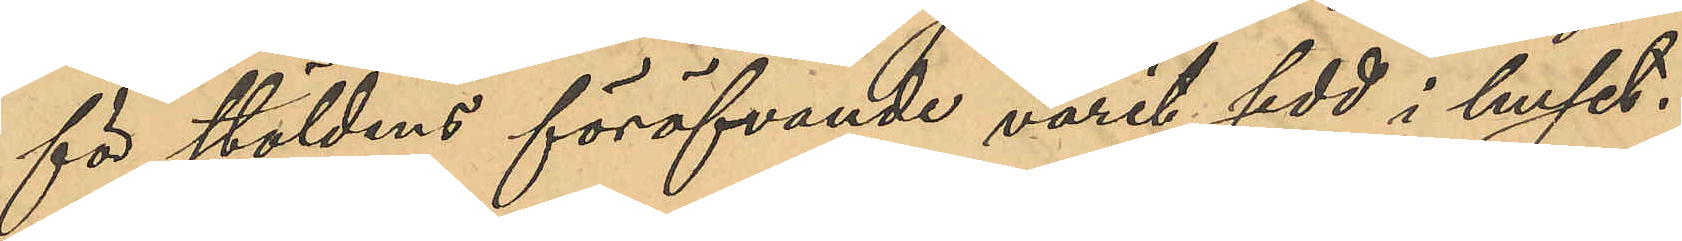för stöldens föröfvande varit sedd i huset.
